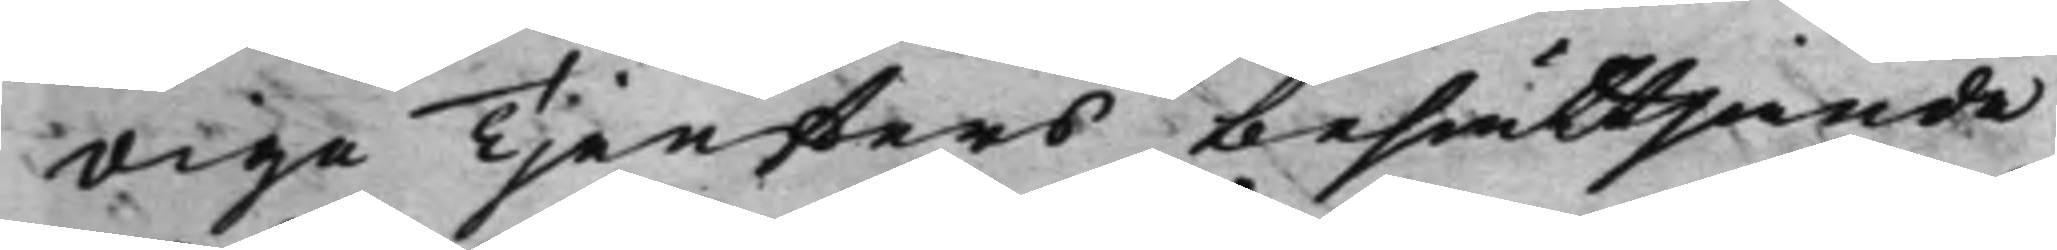dige Tjensters besättjande
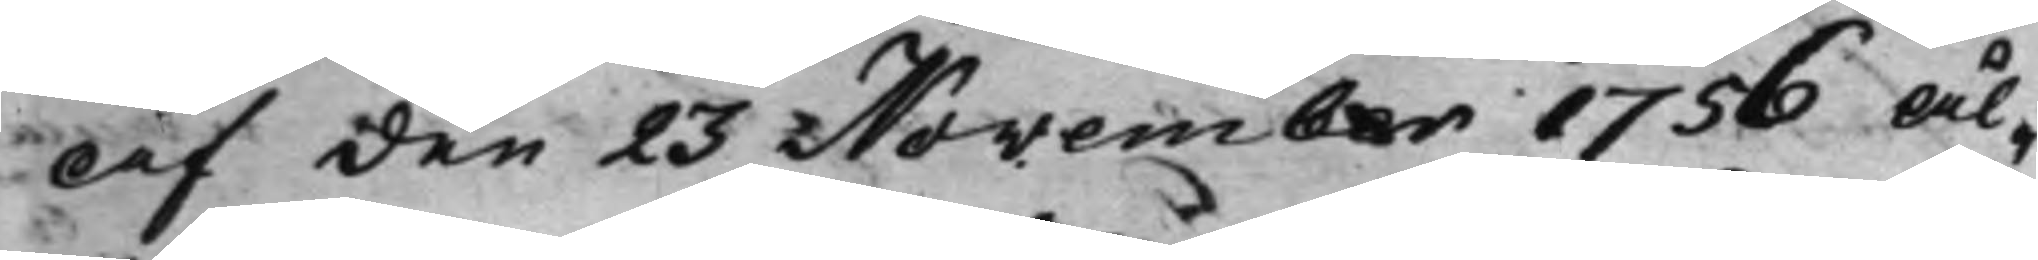af den 23 November 1756 Ål¬
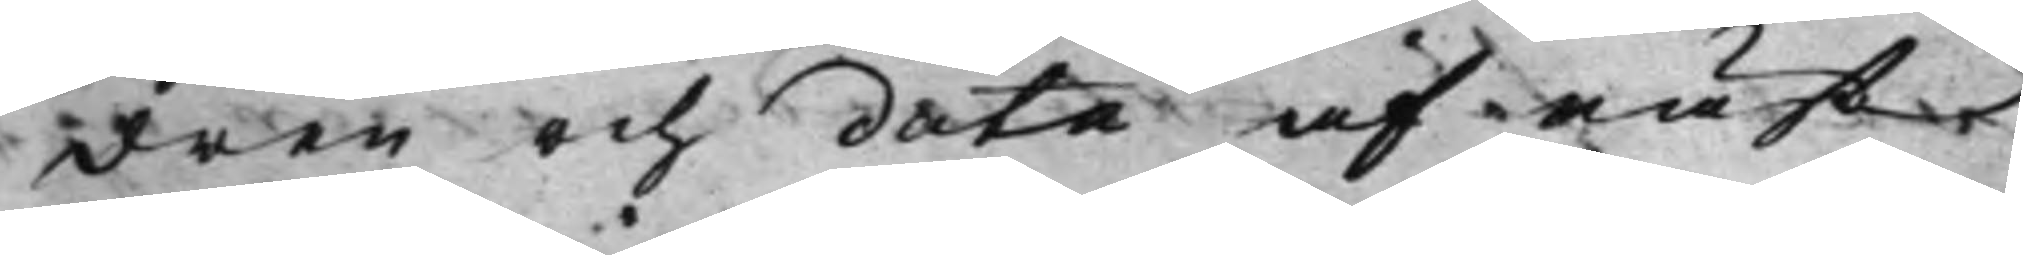dren och data af näst
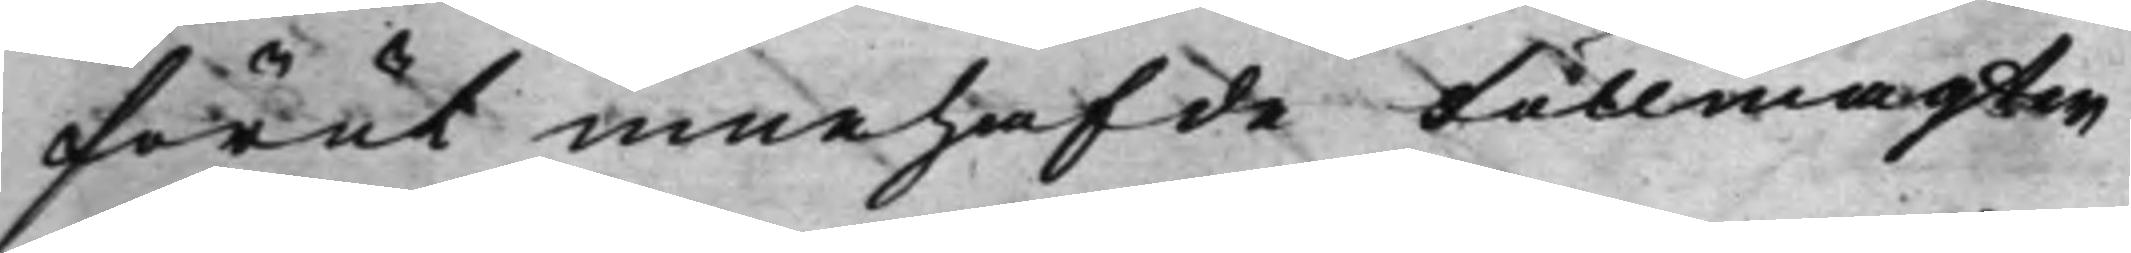förut innehafde Fullmagten
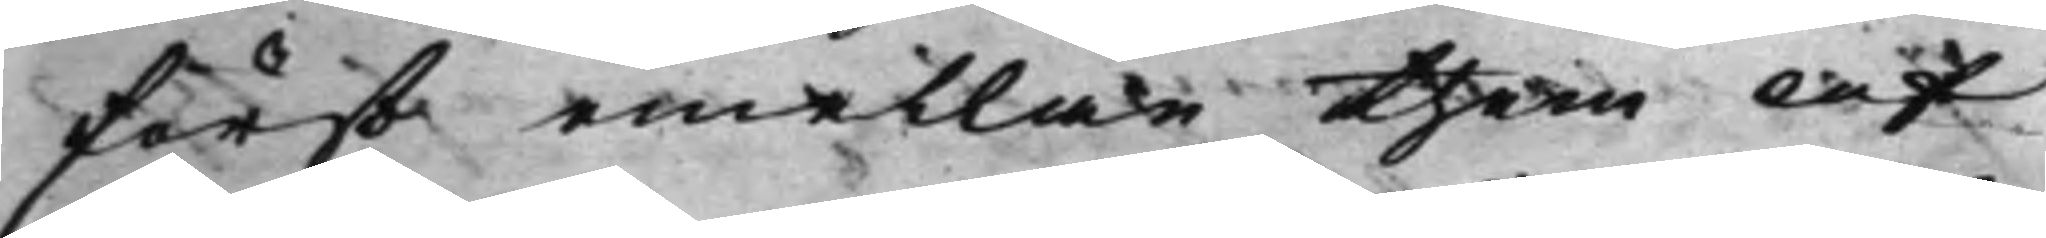först emellan them af
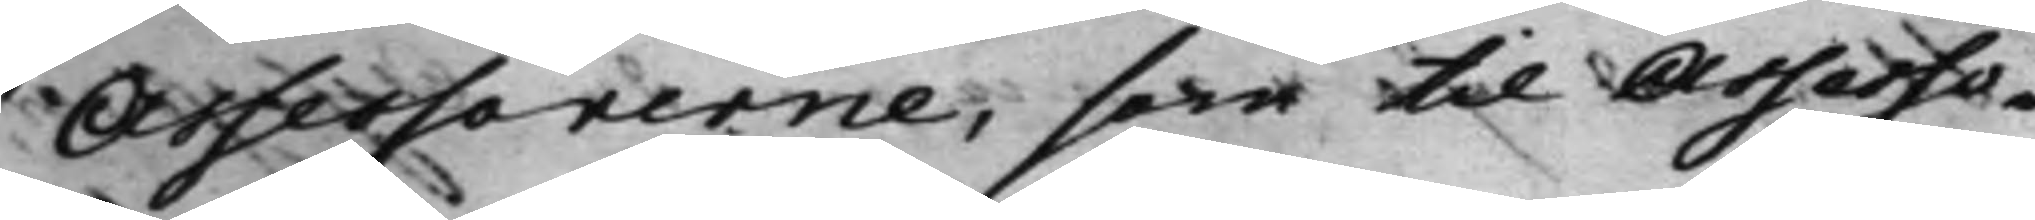Assessorerne, som til Assesso¬
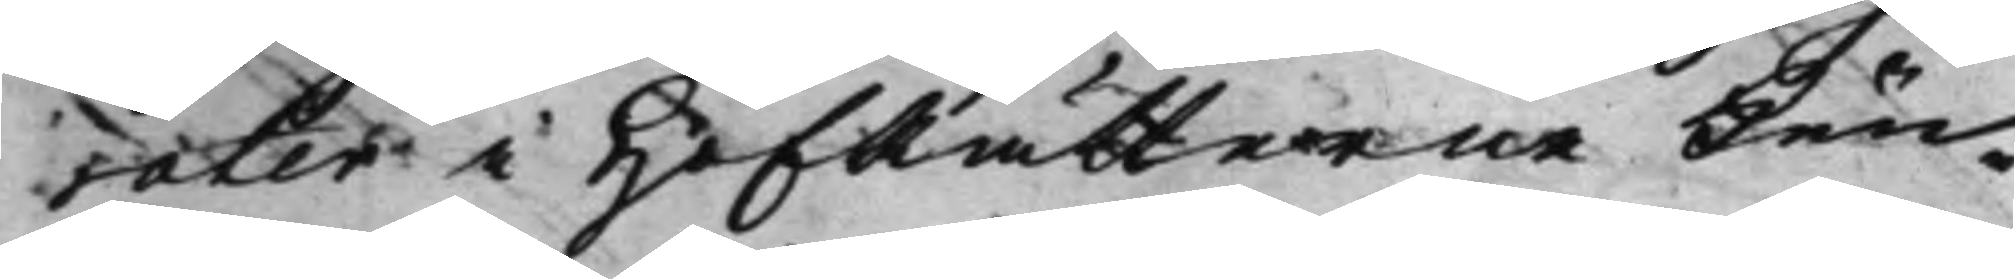rater i HofRätterne Kun¬
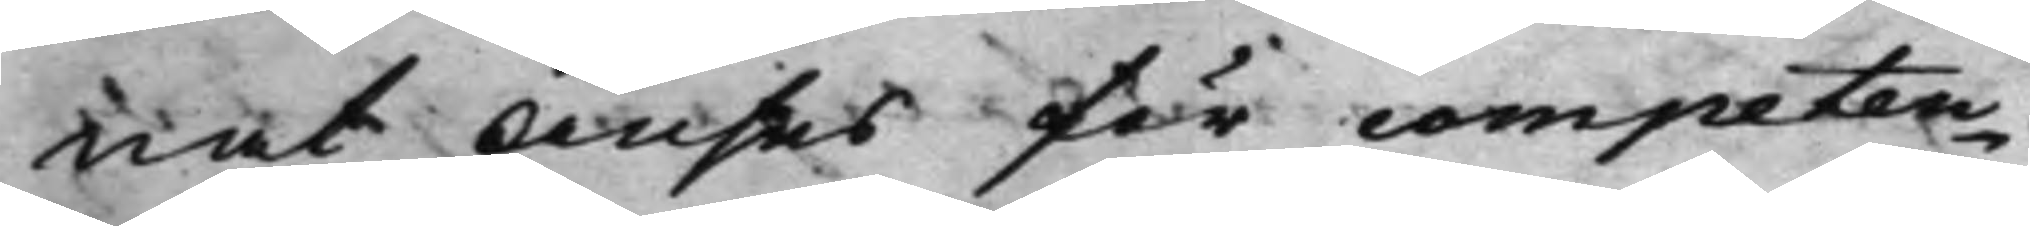nat Anses för competen¬
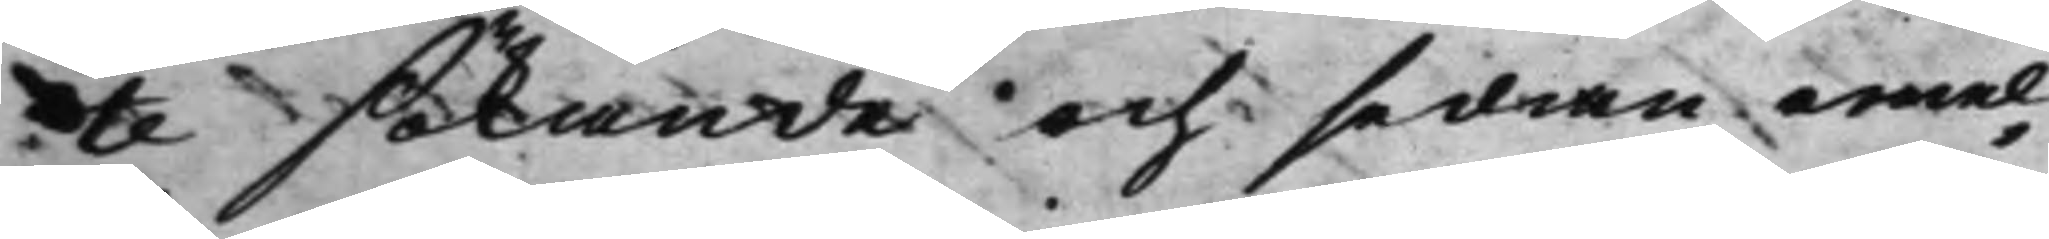te sökande och sedan emel¬
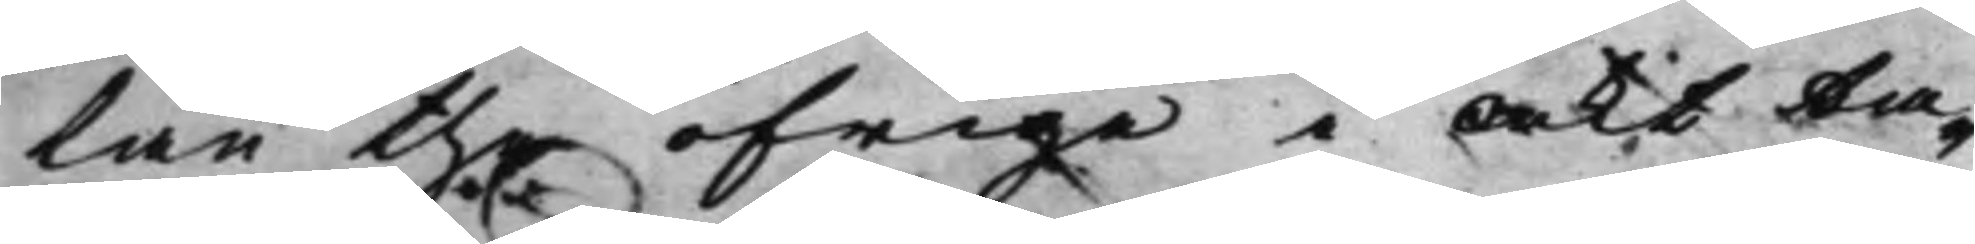lan the öfrige i Akt ta¬
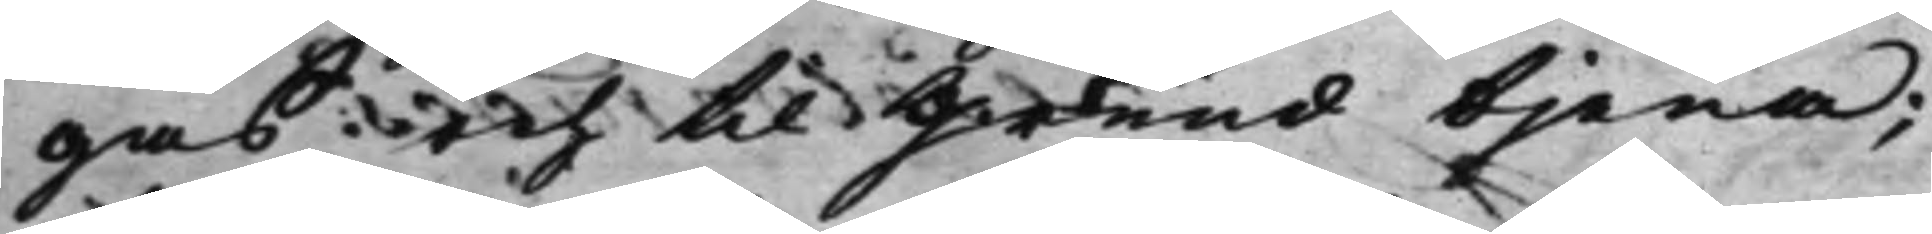gas och til Grund tjena;
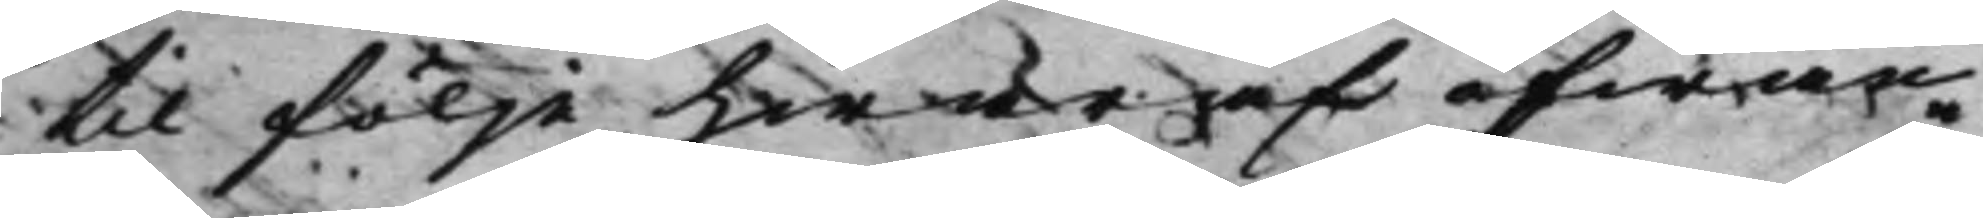til följe hwaraf ofwan¬
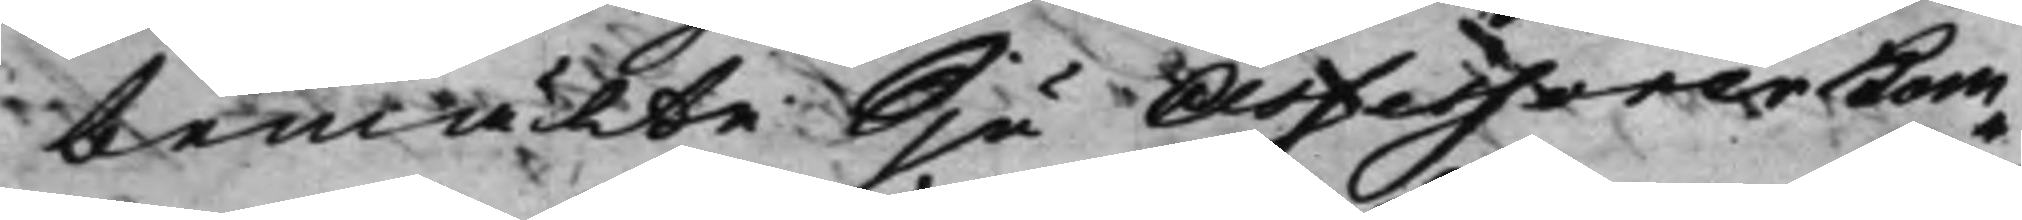bemälte Sju Assessorer Kom¬
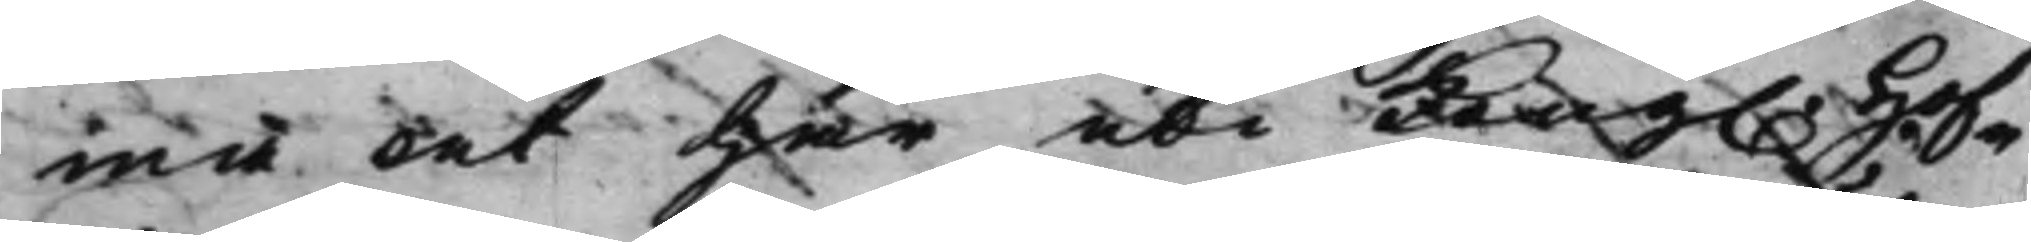ma at här uti Kong. Hof¬ 
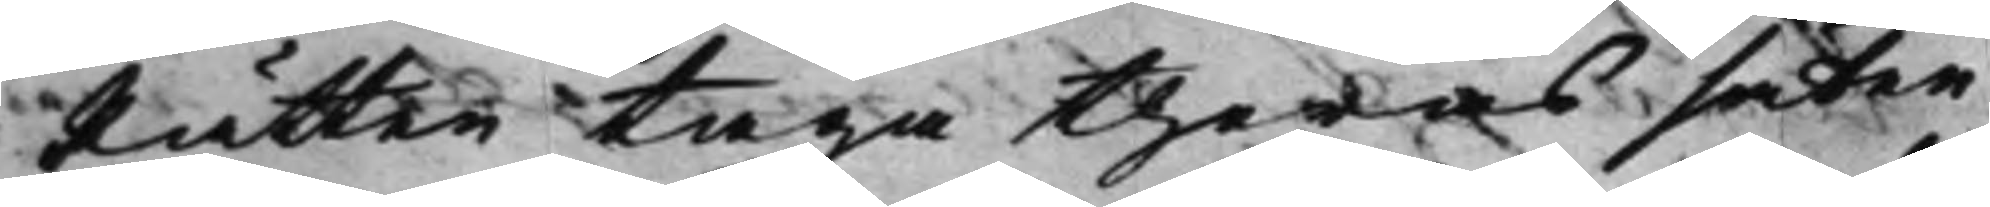Rätten taga theras säten
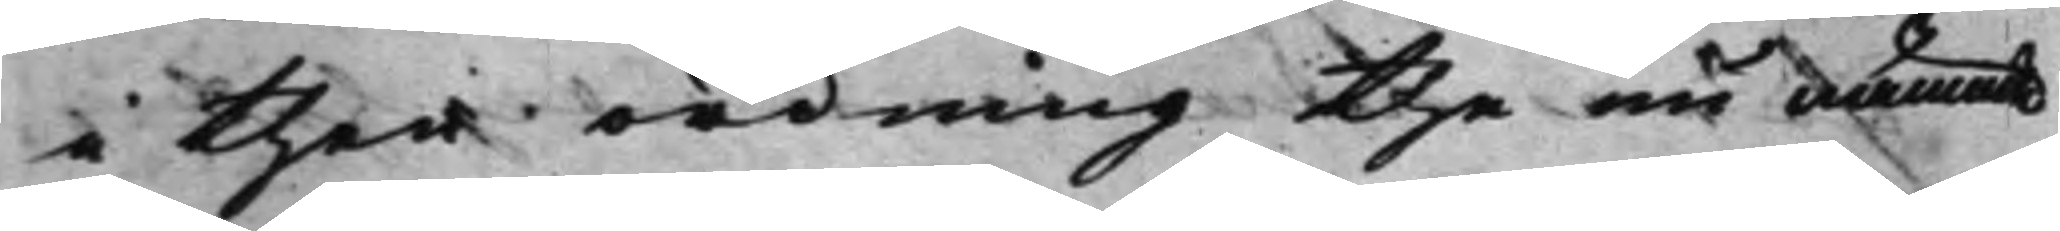i then ordning the nu nämnde
